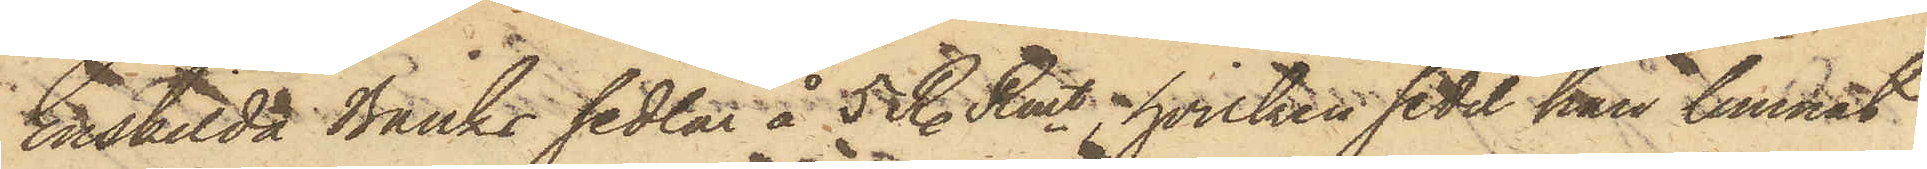Enskilda Banks sedlar å 5 R. Rmt, hvilken sedel han lemnat
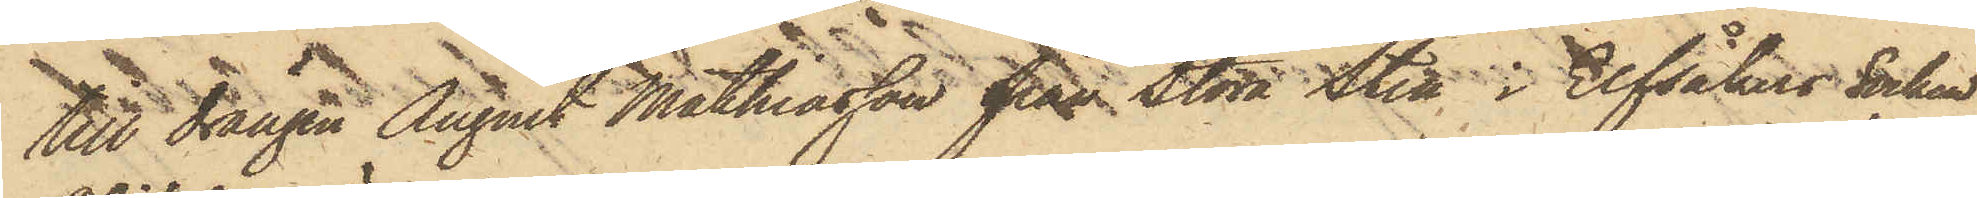till drängen August Mathiasson från Stora Sten i Elfsåkers Socken
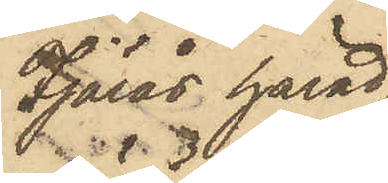Fjärås härad;
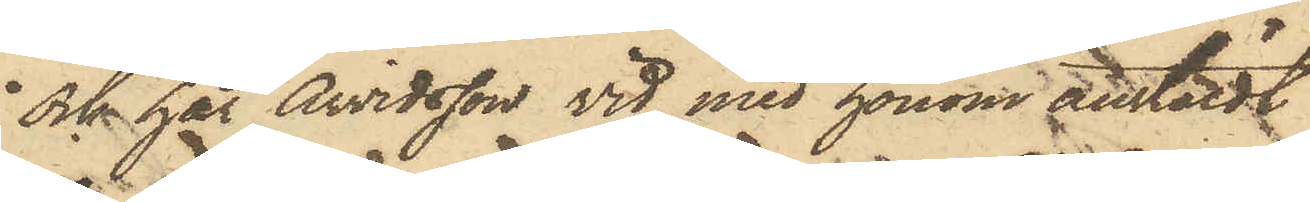och har Arvidsson vid med honom anstäldt
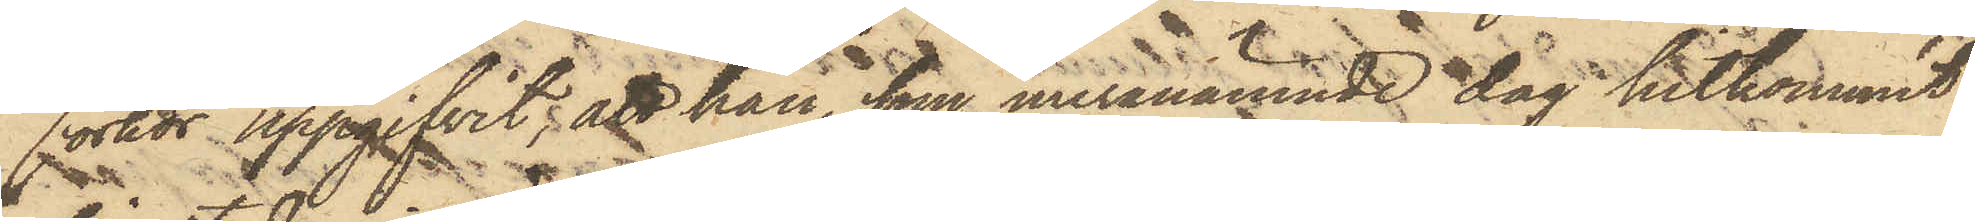förhör uppgifvit; att han, som meranämnde dag hitkommit
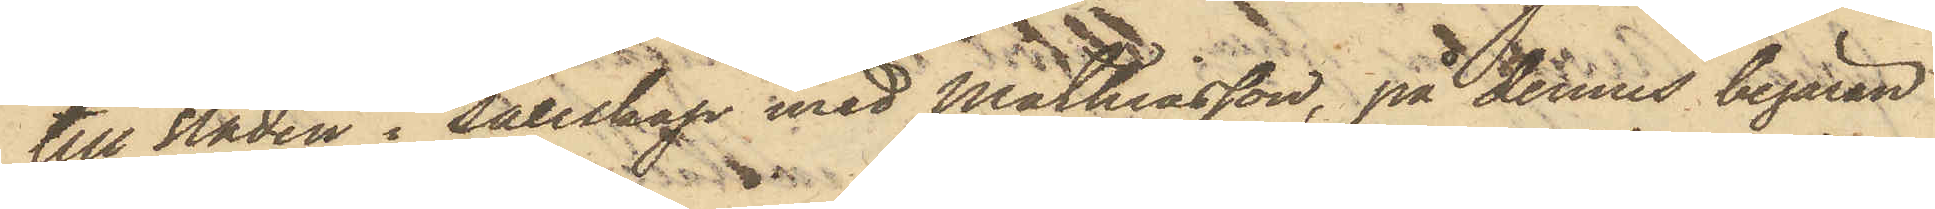till Staden i sällskap med Mathiasson, på dennes begäran
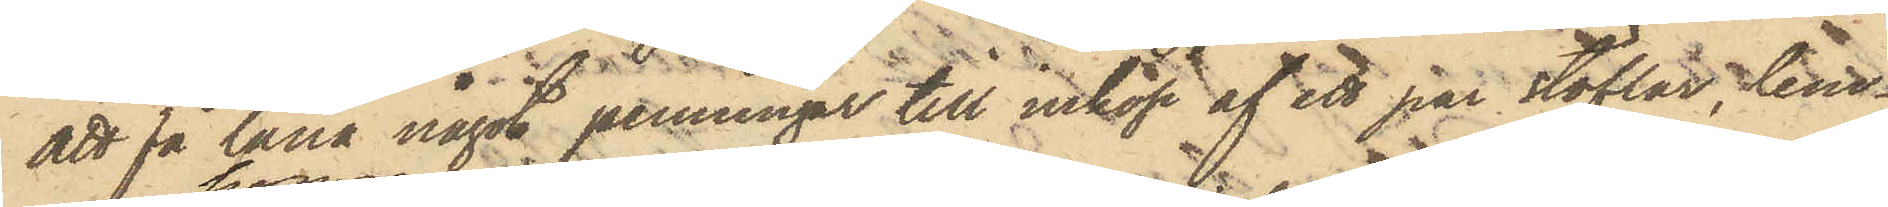att få låna något penningar till inköp af ett par stöflar, lem¬
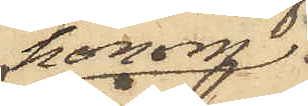honom
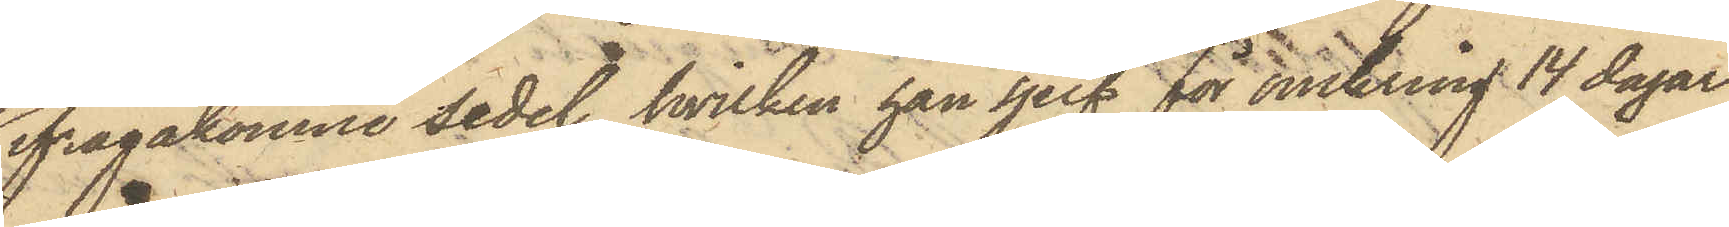ifrågakomne sedel, hvilken han sjelf för omkring 14 dagar
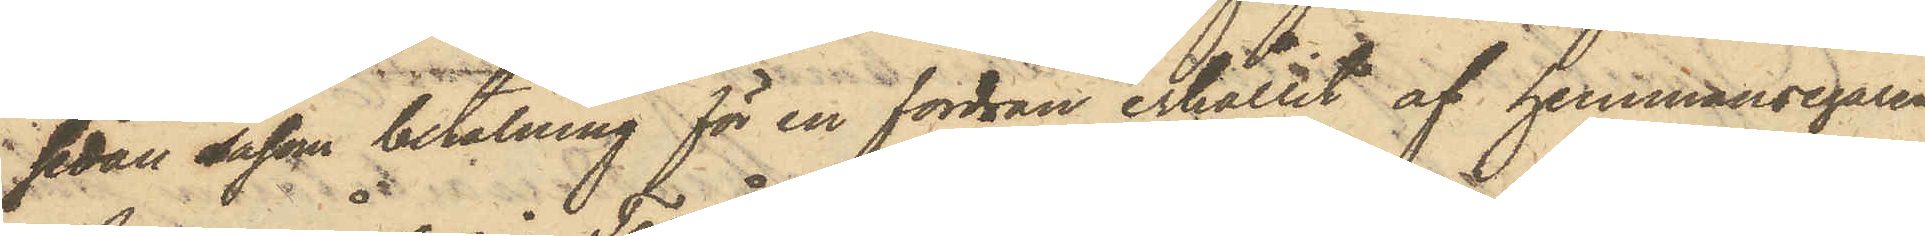sedan såsom betalning för en fordran erhållit af hemmansegaren
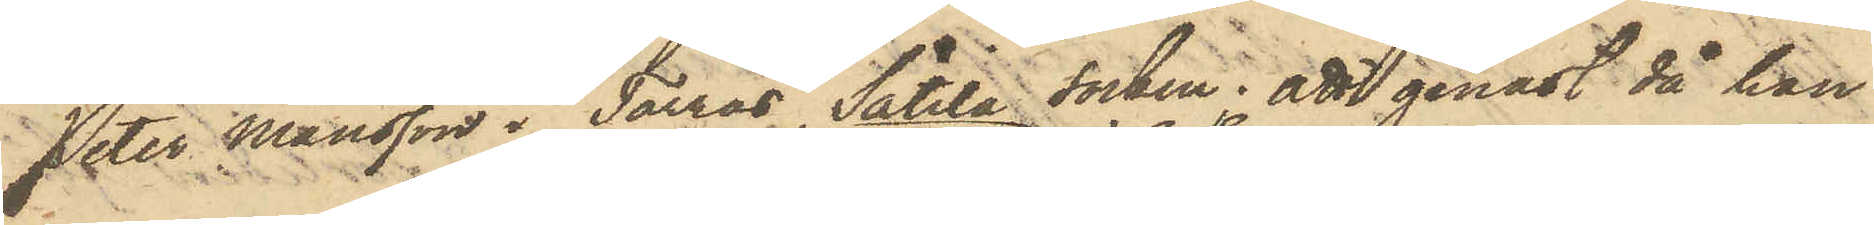Peter Månsson i Torrås, Sätila Socken; att genast då han
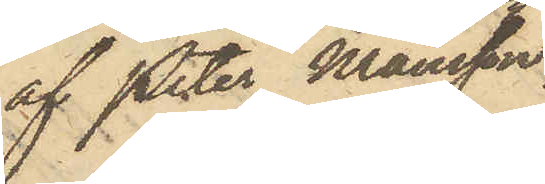af Peter Månsson
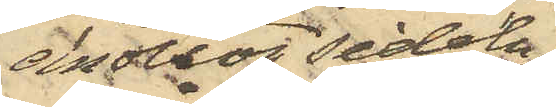emottog Sedeln
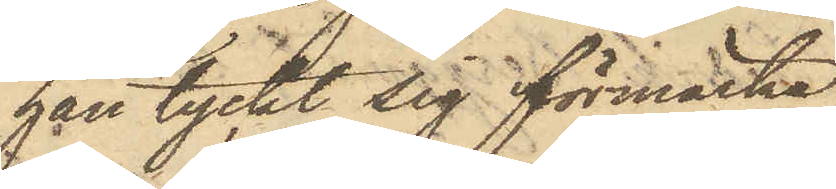han tyckt sig förmärka,
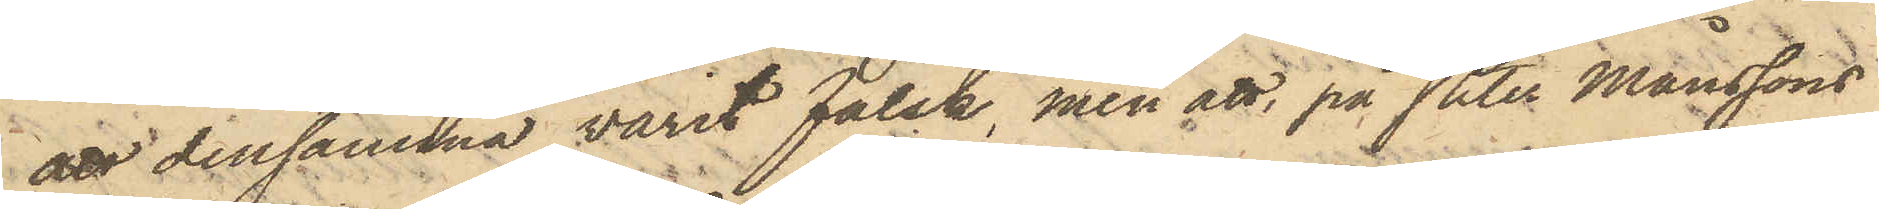att densamma varit falsk, men att, på Peter Månssons
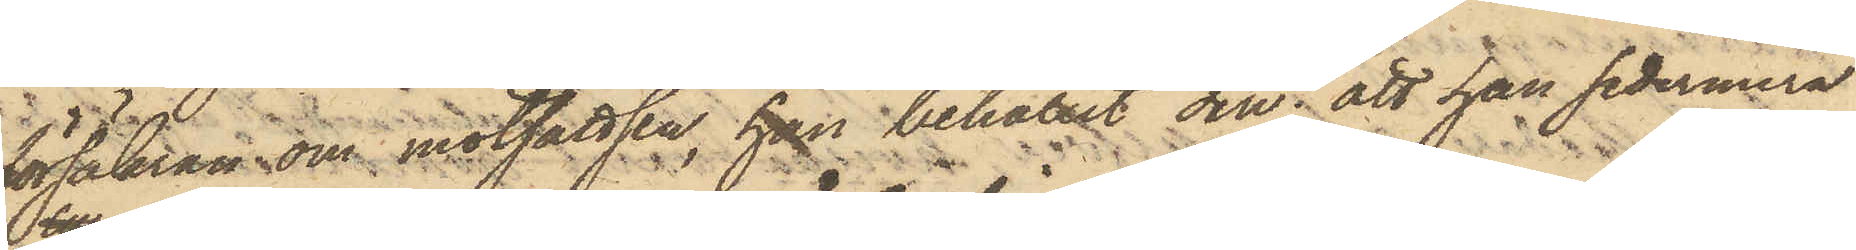försäkran om motsattsen, han behållit den; att han sedermera
